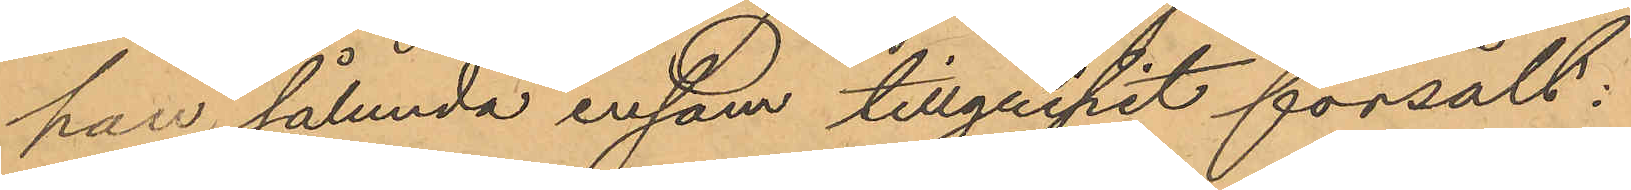han sålunda ensam tillgripit försålt:
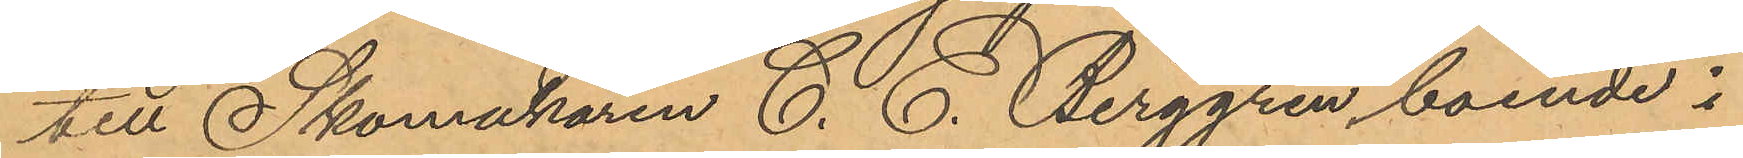till Skomakaren C. E. Berggren, boende i
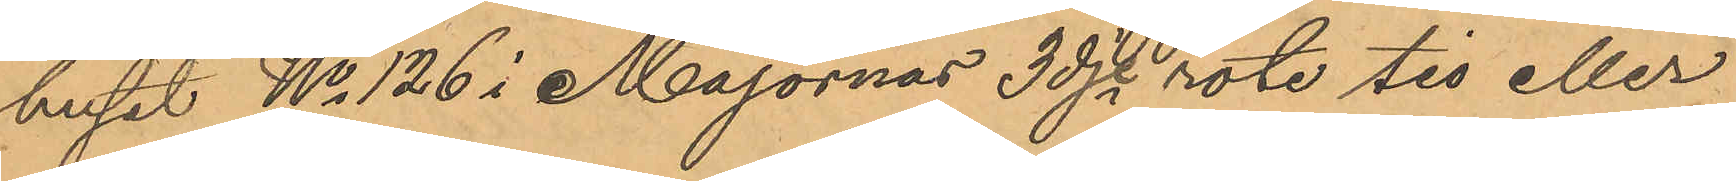huset No 126 i Majornas 3dje rote tio eller
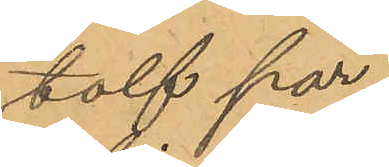tolf par,
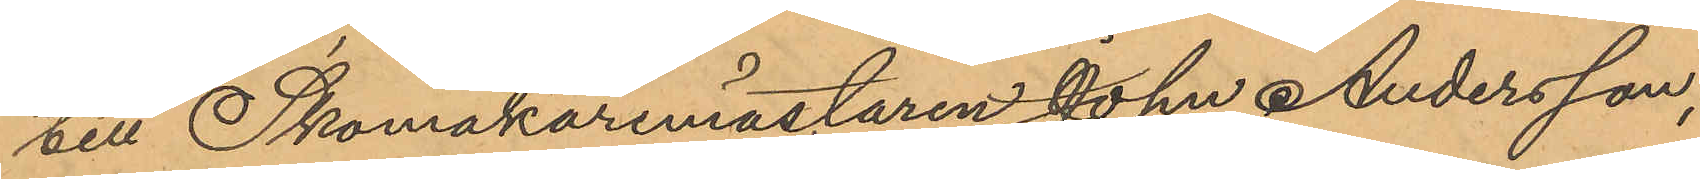till Skomakaremästaren John Andersson,
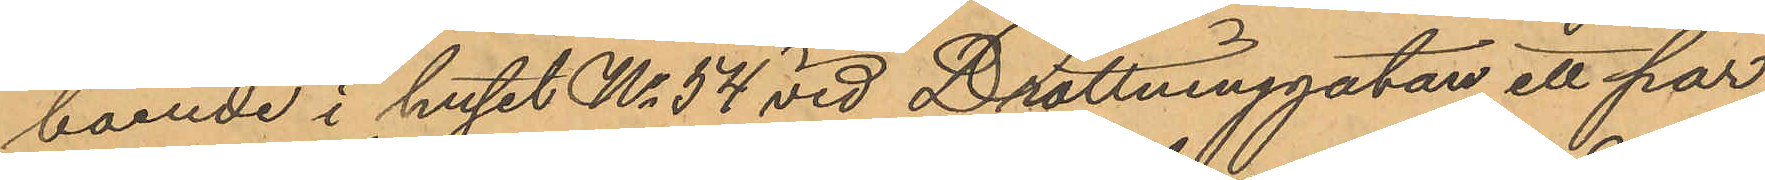boende i huset No 54 vid Drottninggatan, ett par,
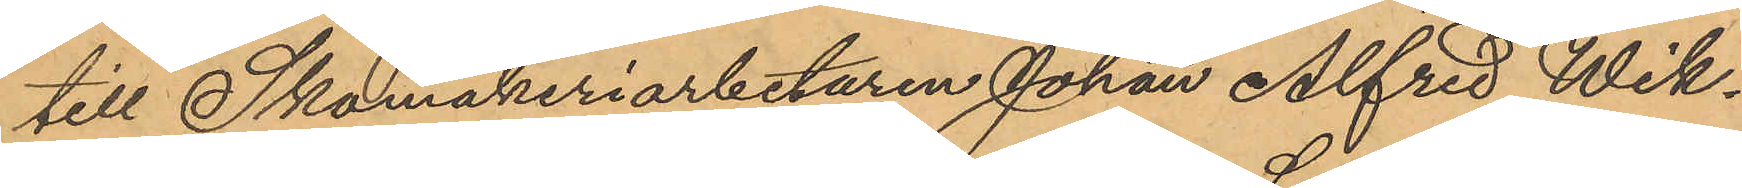till Skomakeriarbetaren Johan Alfred Wik¬
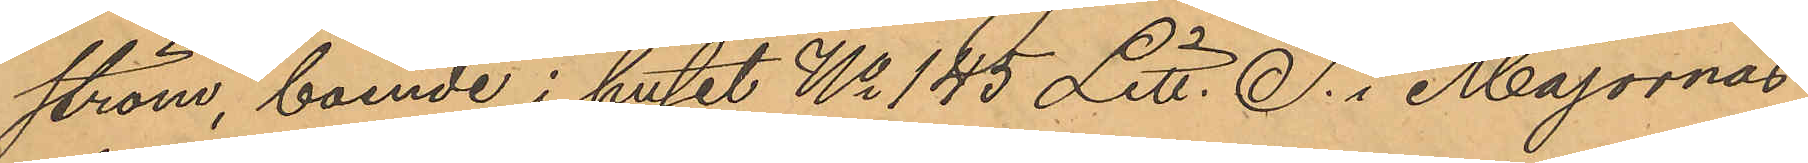ström, boende i huset No 145 Litt. S. i Majornas
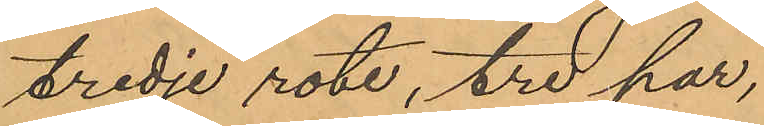tredje rote, tre par,
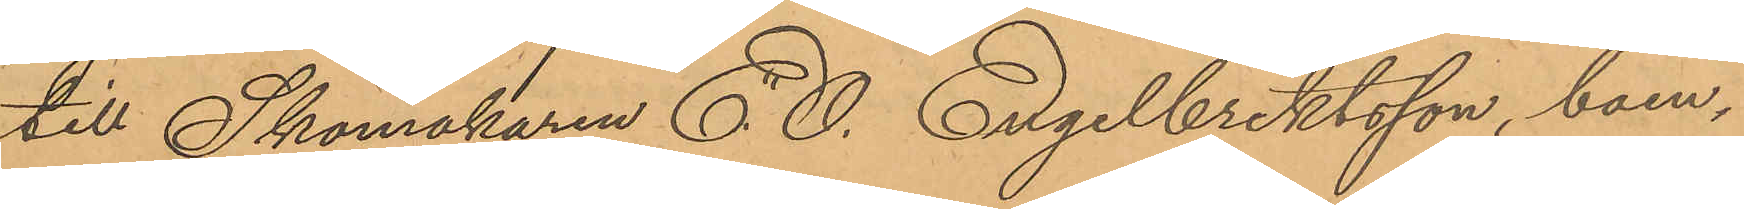till Skomakaren E. O. Engelbrektsson, boen¬
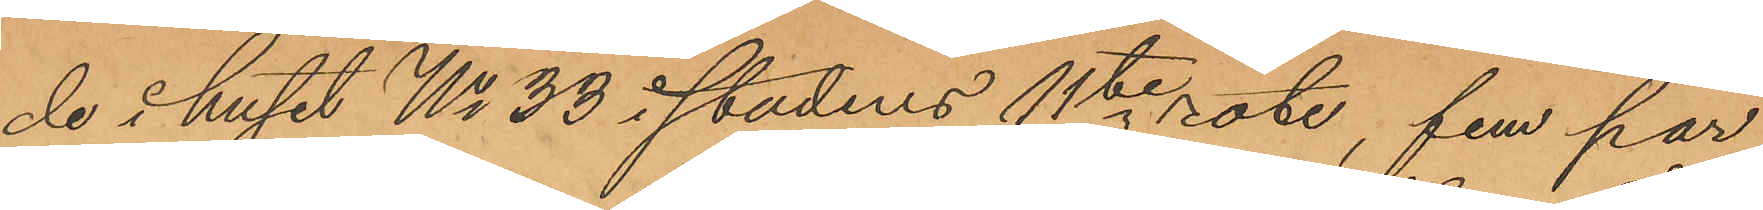de i huset No 33 i stadens 11te rote, fem par,
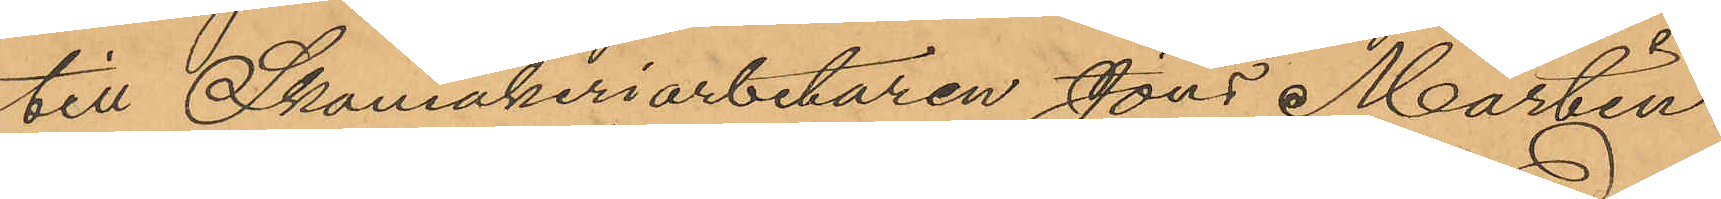till Skomakeriarbetaren Jöns Martin
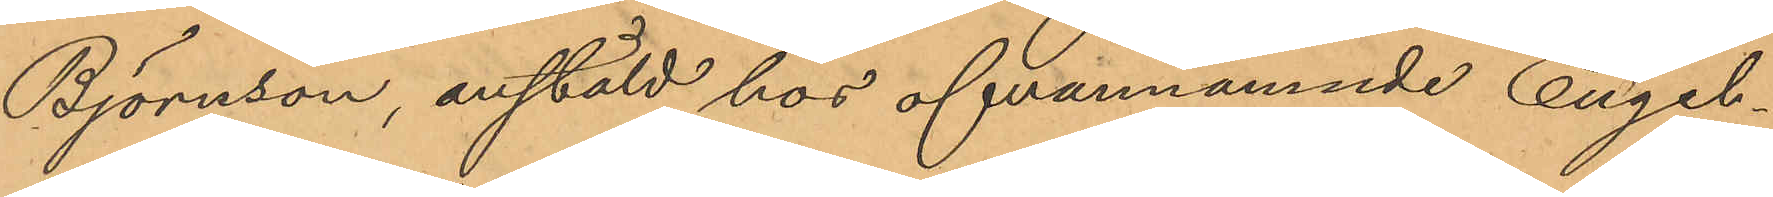Björnson, anstäld hos ofvannämnde Engel¬
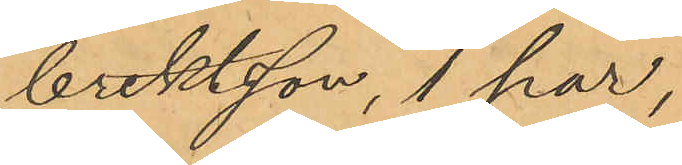brektsson, 1 par,
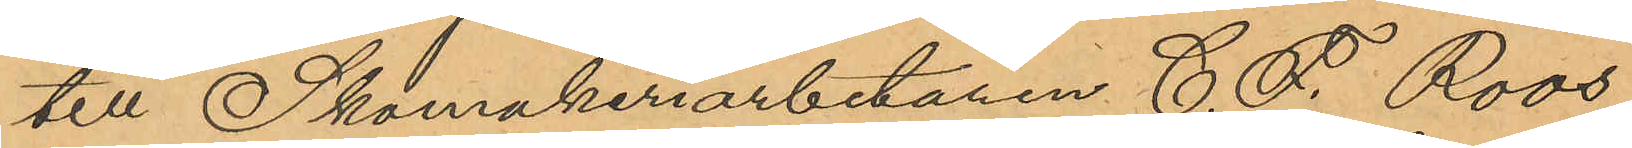till Skomakeriarbetaren C. F. Roos,
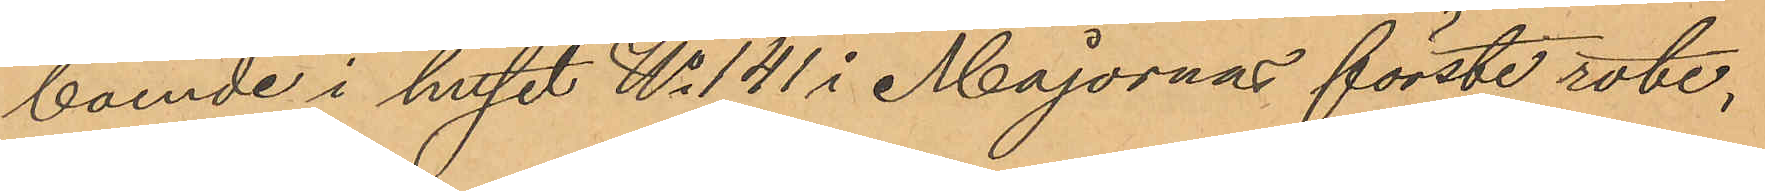boende i huset No 141 i Majornas förste rote,
